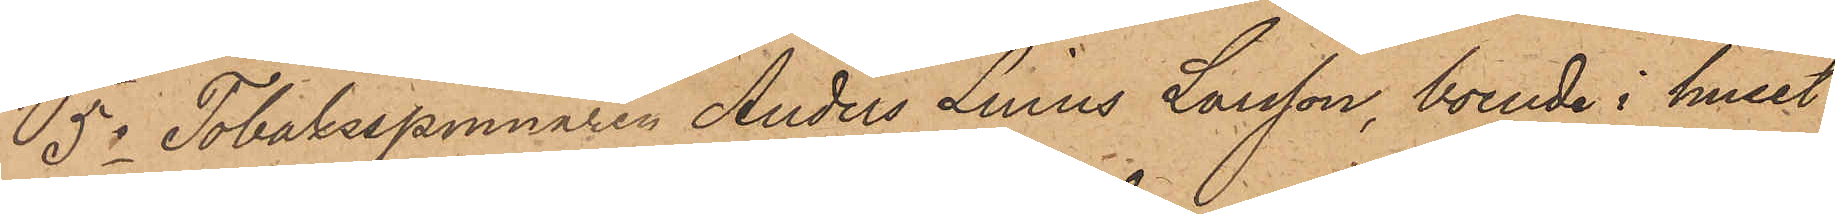5o Tobaksspinnaren Anders Linus Larsson, boende i huset
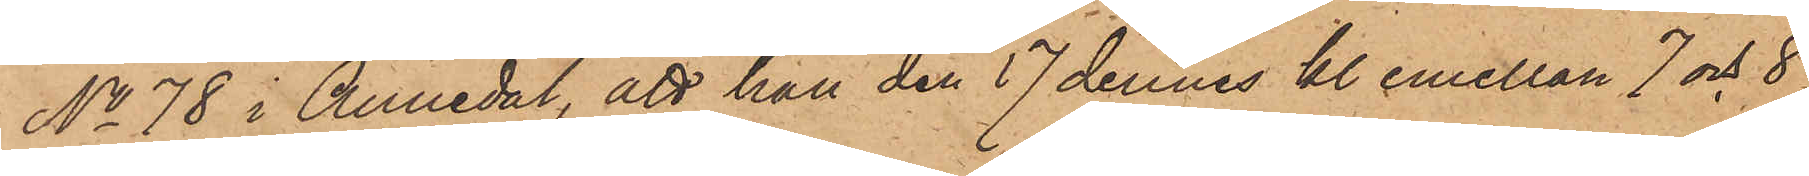No 78 i Annedal, att han den 17 dennes kl. emellan 7 och 8
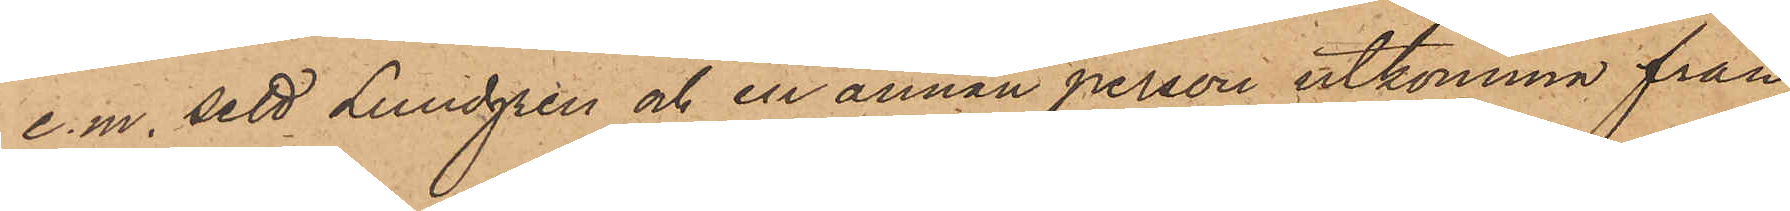e.m. sett Lundgren och en annan person utkomma från
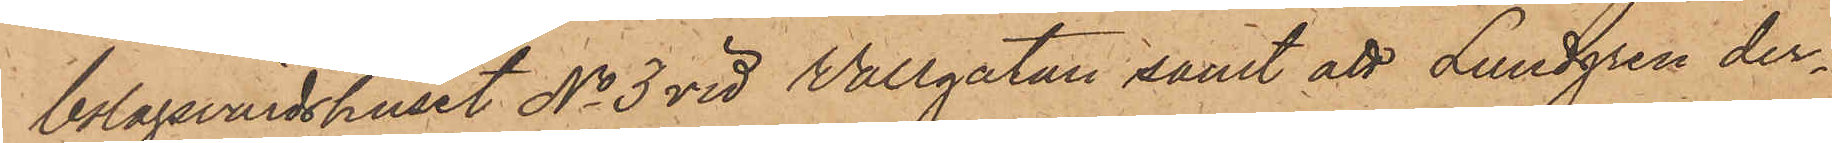bolagsvärdshuset No 3 vid Wallgatan, samt att Lundgren der¬
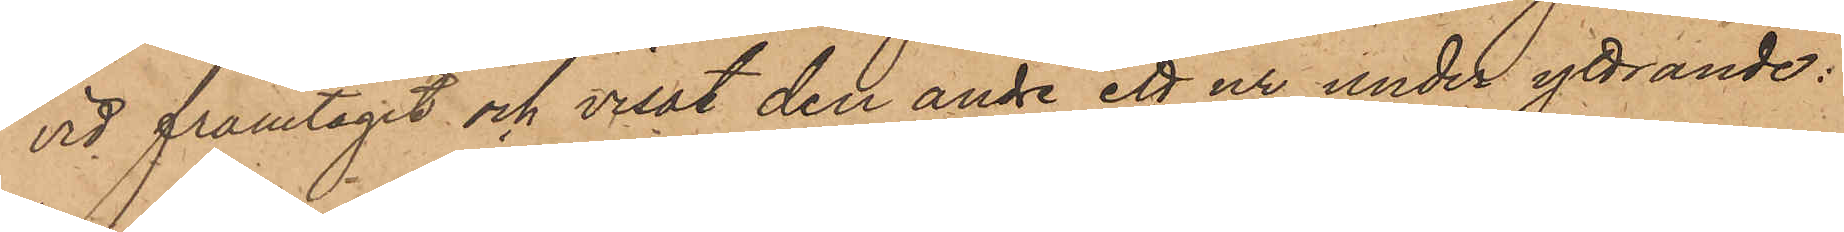vid framtagit och visat den andre ett ur under yttrande:
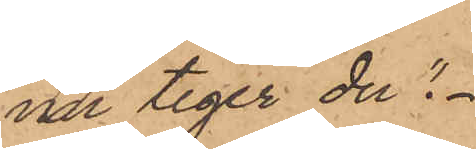"nu tiger du".
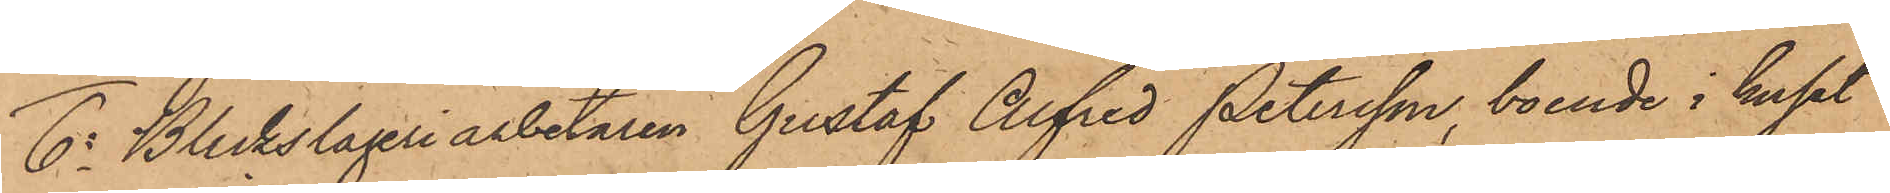6o Bleckslageriarbetaren Gustaf Alfred Petersson, boende i huset
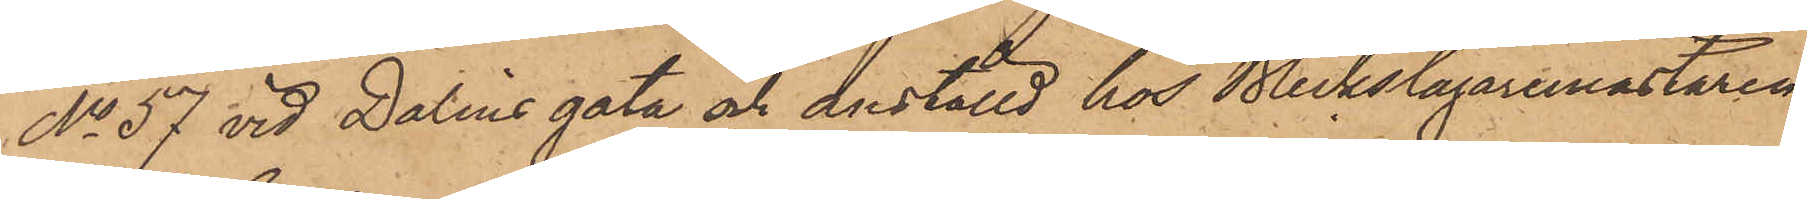No 57 vid Dalins gata och anställd hos Bleckslagaremästaren
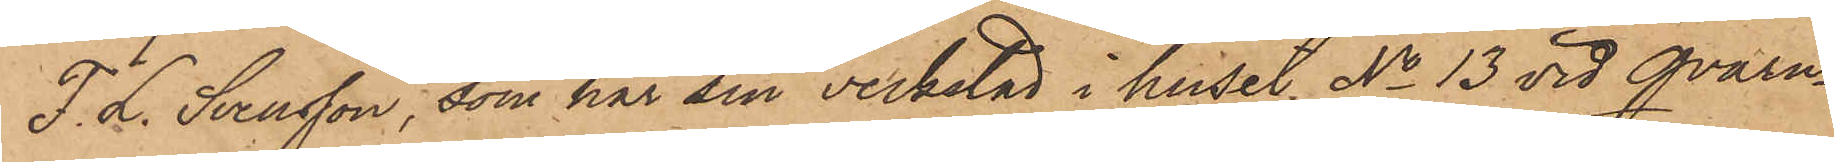F. L. Svensson, som har sin verkstad i huset No 13 vid Qvarn¬
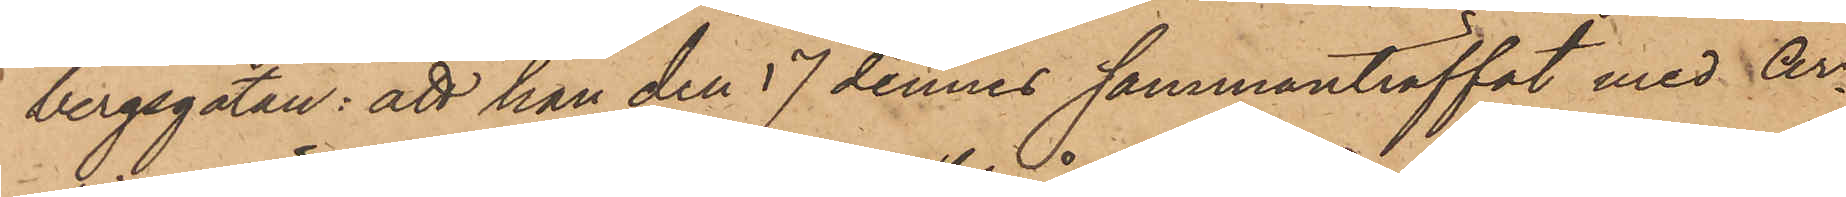bergsgatan: att han den 17 dennes sammanträffat med Ar¬
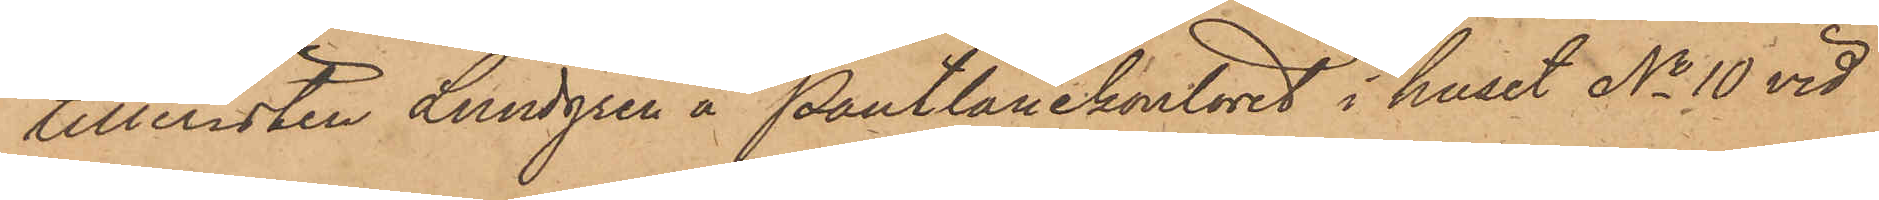tilleristen Lundgren å Pantlånekontoret i huset No 10 vid
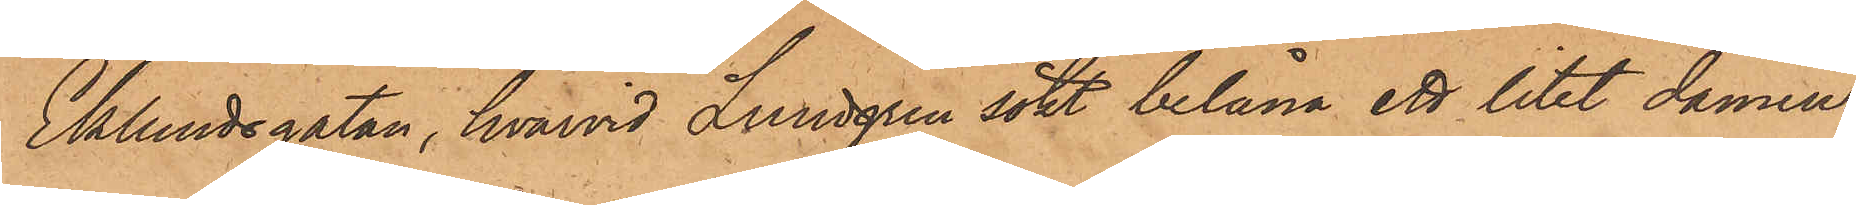Eklundsgatan, hvarvid Lundgren sökt belåna ett litet damur
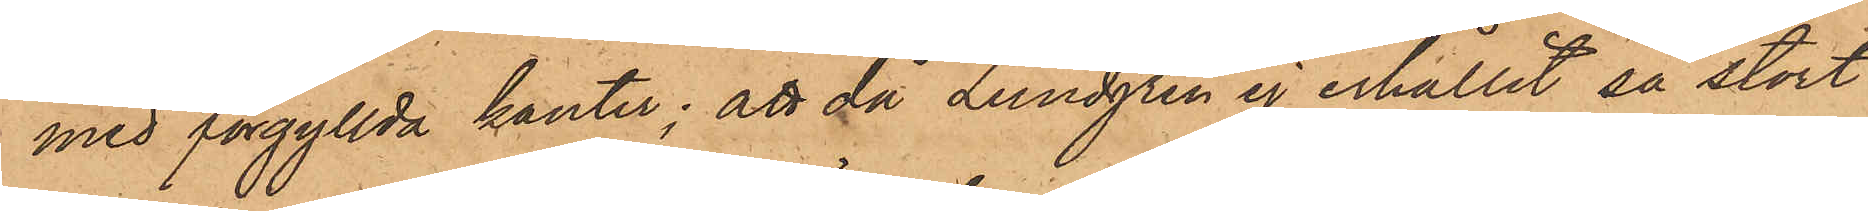med förgyllda kanter; att då Lundgren ej erhållit så stort
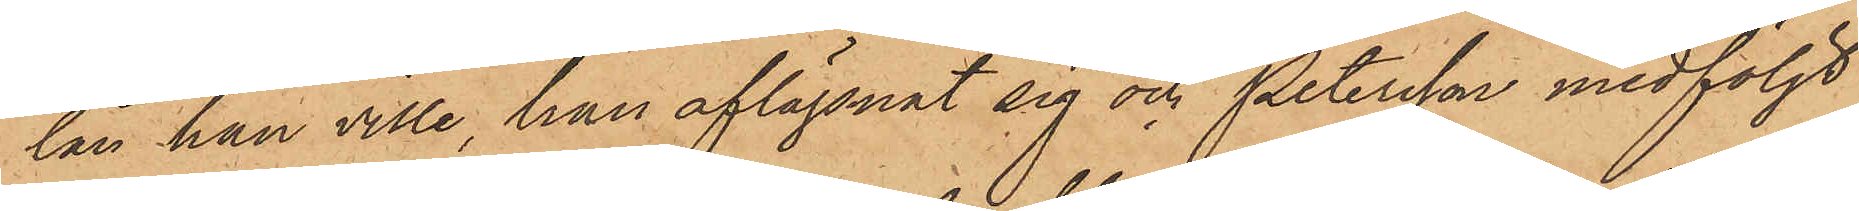lån han ville, han aflägsnat sig och Petersson medföljt
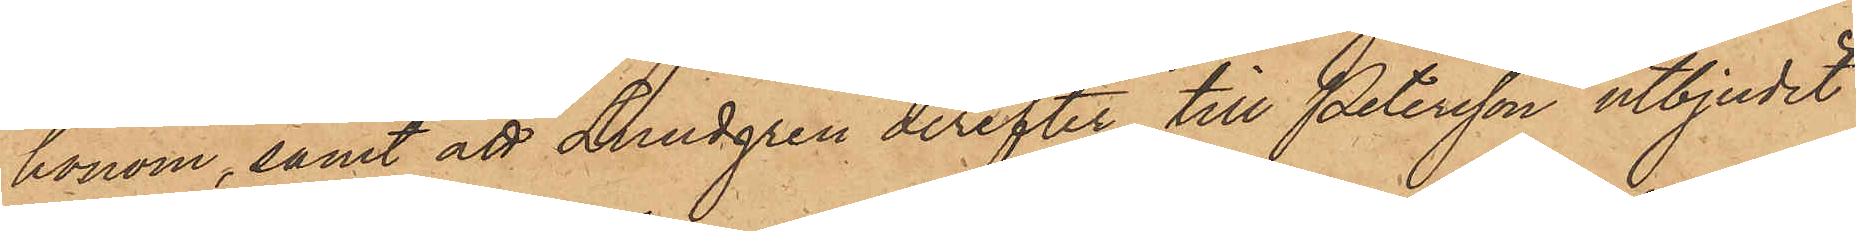honom, samt att Lundgren derefter till Petersson utbjudit
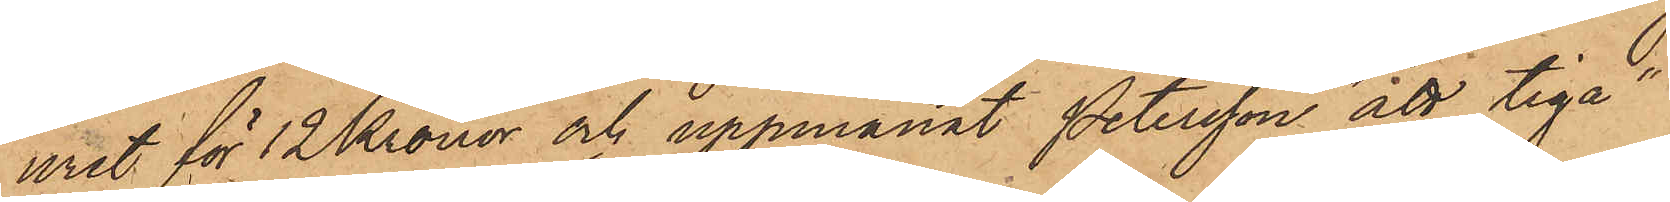uret för 12 Kronor och uppmanat Petersson "att tiga".
